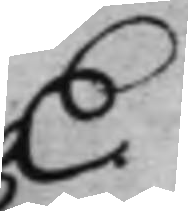E.
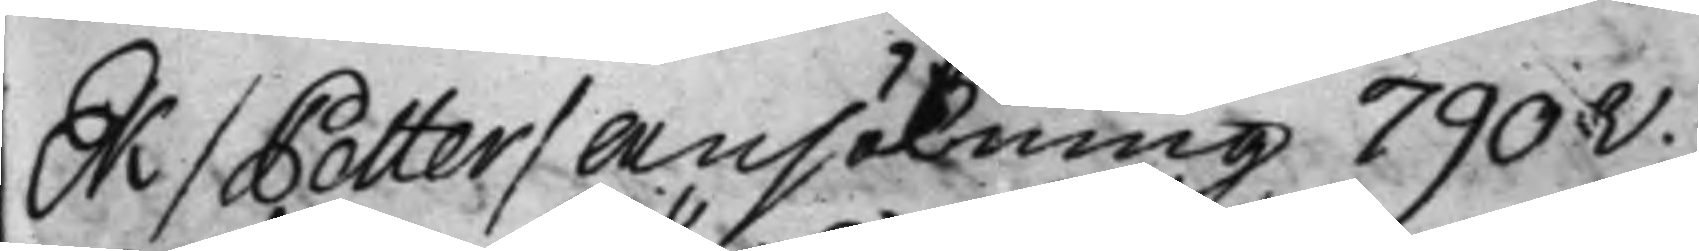Ek / Petter / Ansökning 790v.
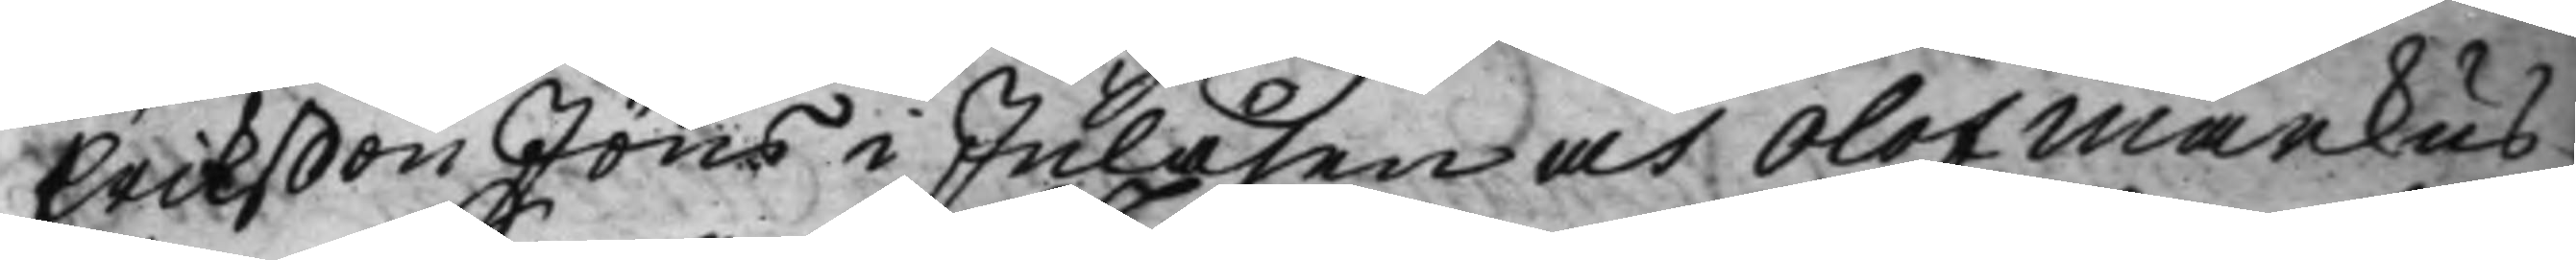Erikßon Jöns i Julåsen och Olof Markus¬
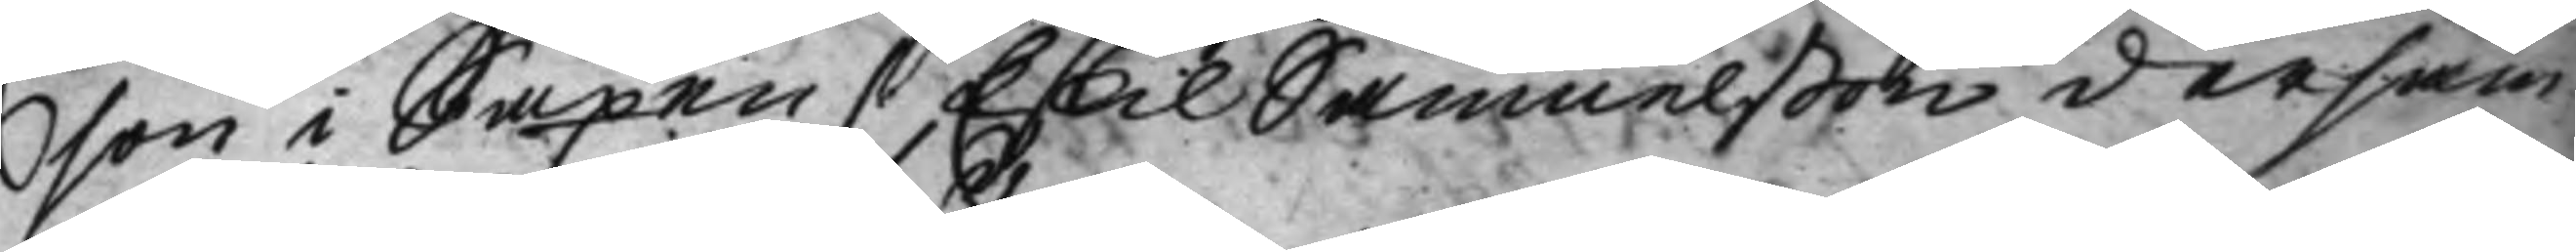son i Saxen / Eskil Samuelßon dersam¬
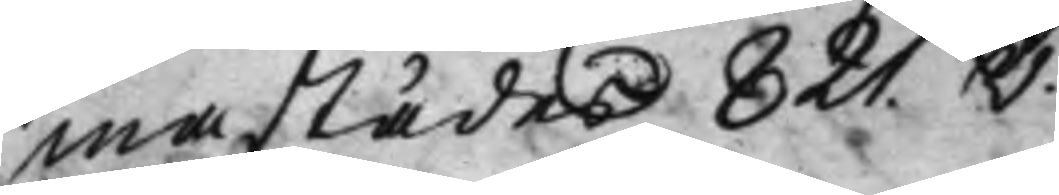mastädes 821.v.
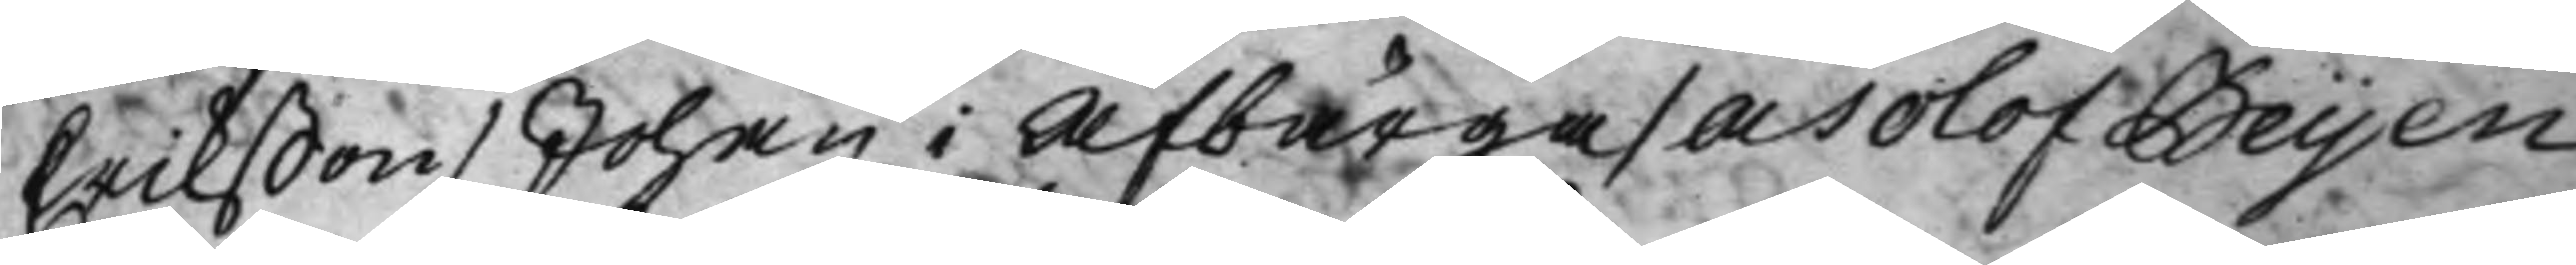Erikßon / Johan i Afbärga / och Olof Beijen¬
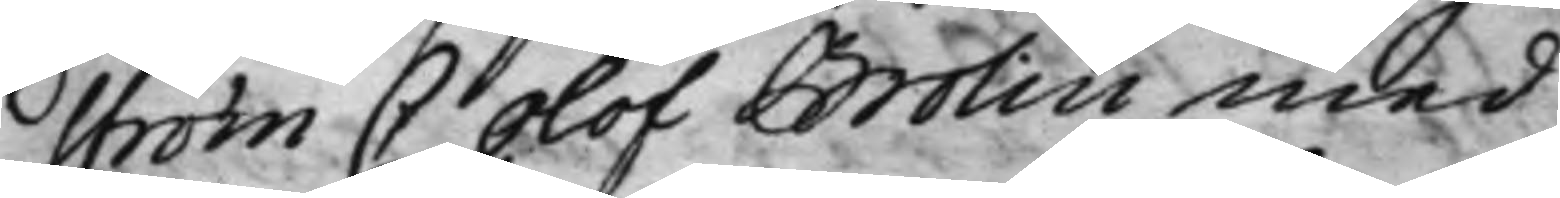ström C Olof Brolin med
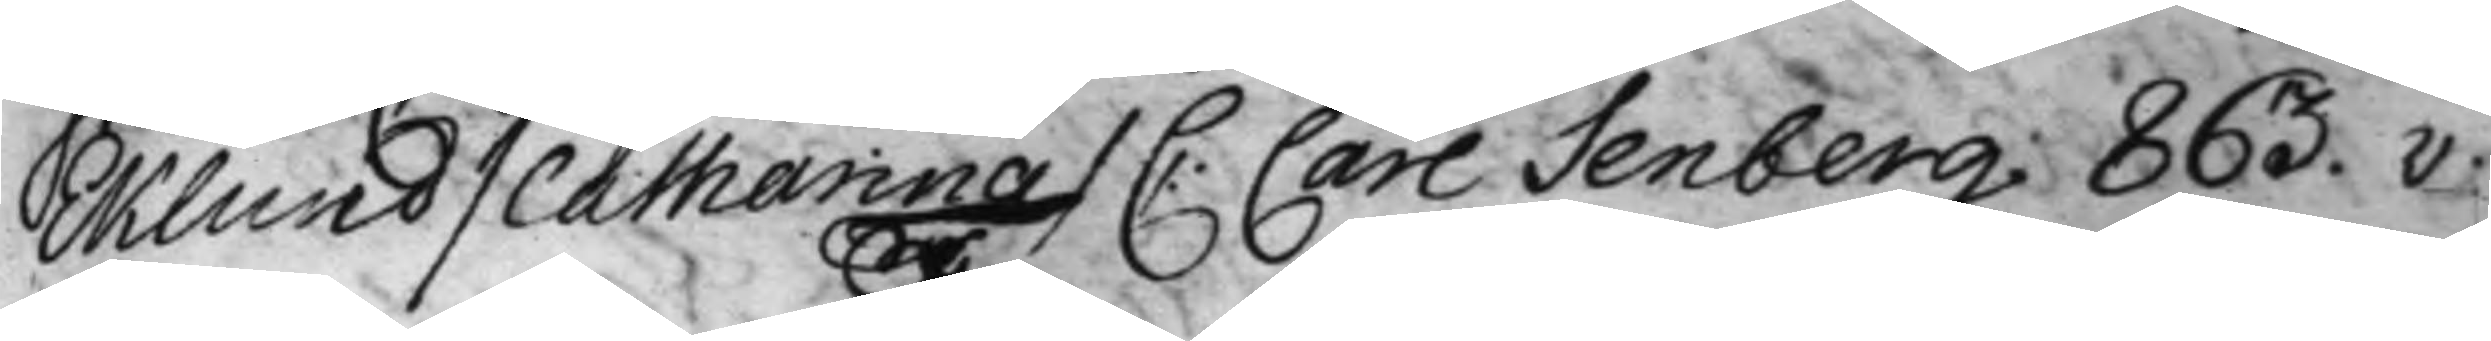Eklund / Catharina / C: Carl Senberg 863.v.
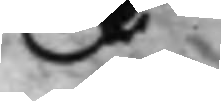F
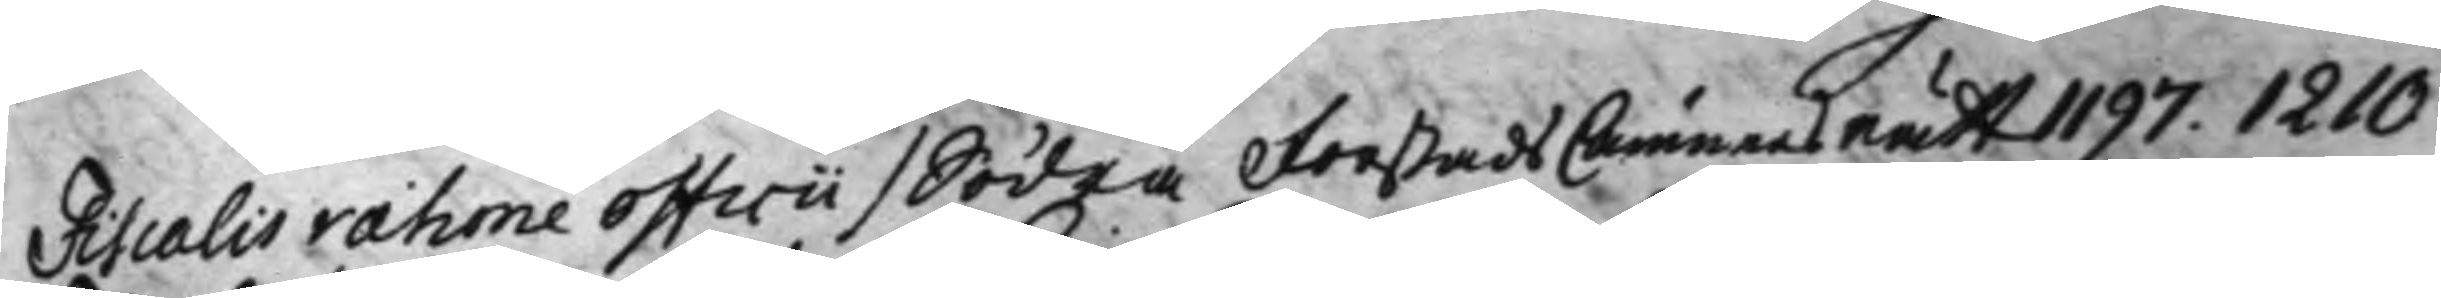Fiscalis ratione officii / Södra Förstads CämnersRätt 1197. 1210
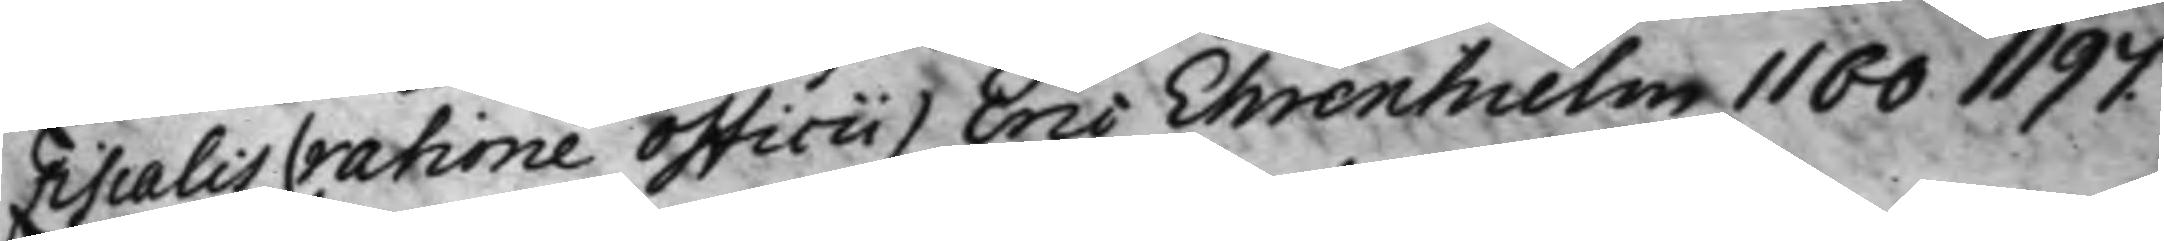Fiscalis (ratione officii) Eric Ehrenhielm 1160 1197.
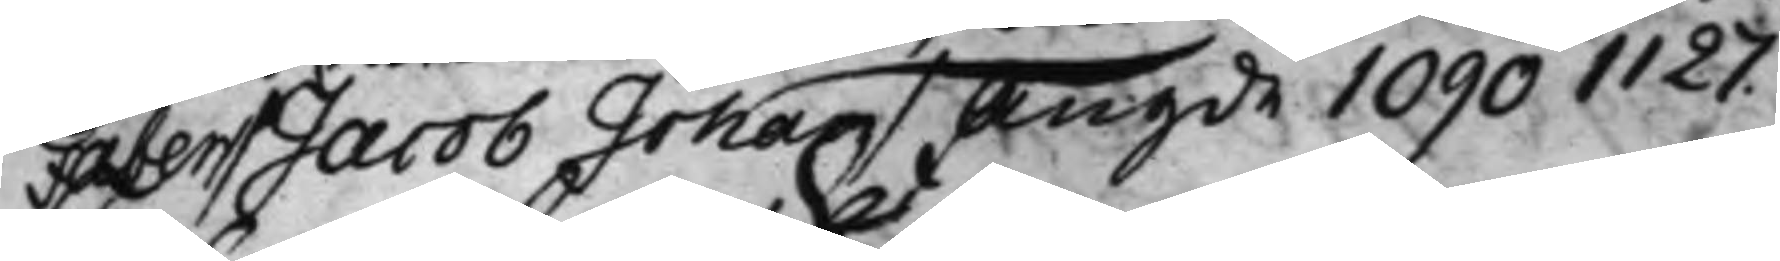Faber / Jacob Johan / Angde 1090 1127.
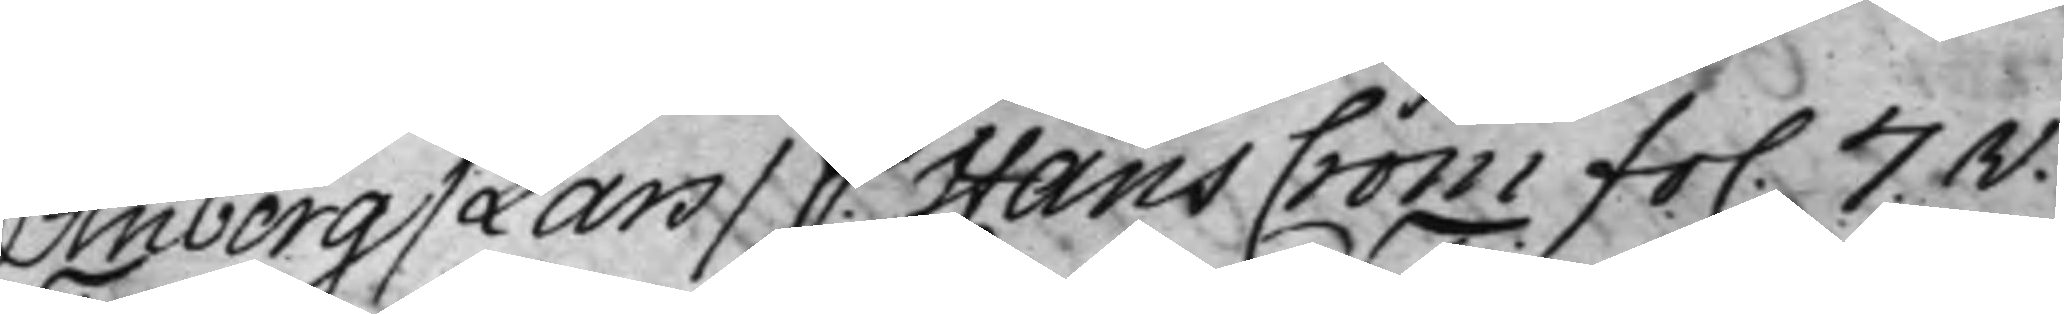Finberg / Lars / C. Hans Crom fo. 7.v.
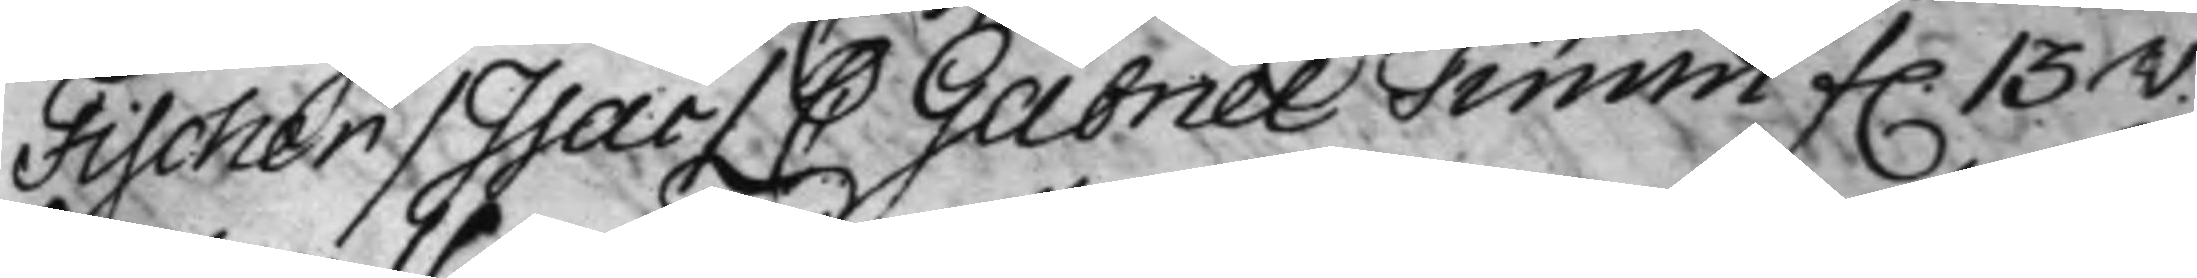Fischer / Isac / C Gabriel Timm f. 13v.
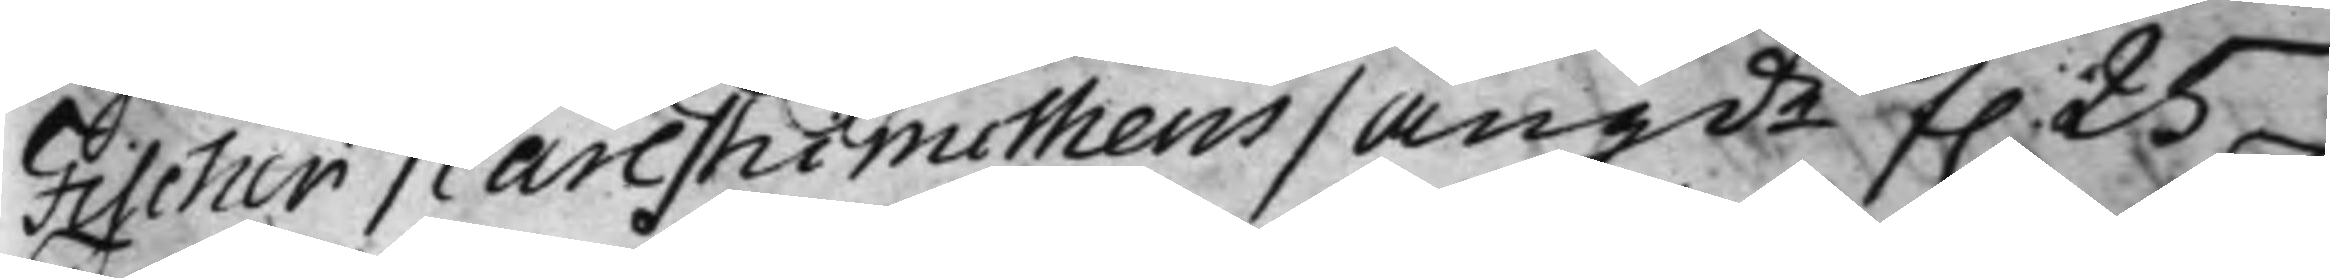Fischer / Carl Thimotheus / angde f. 25
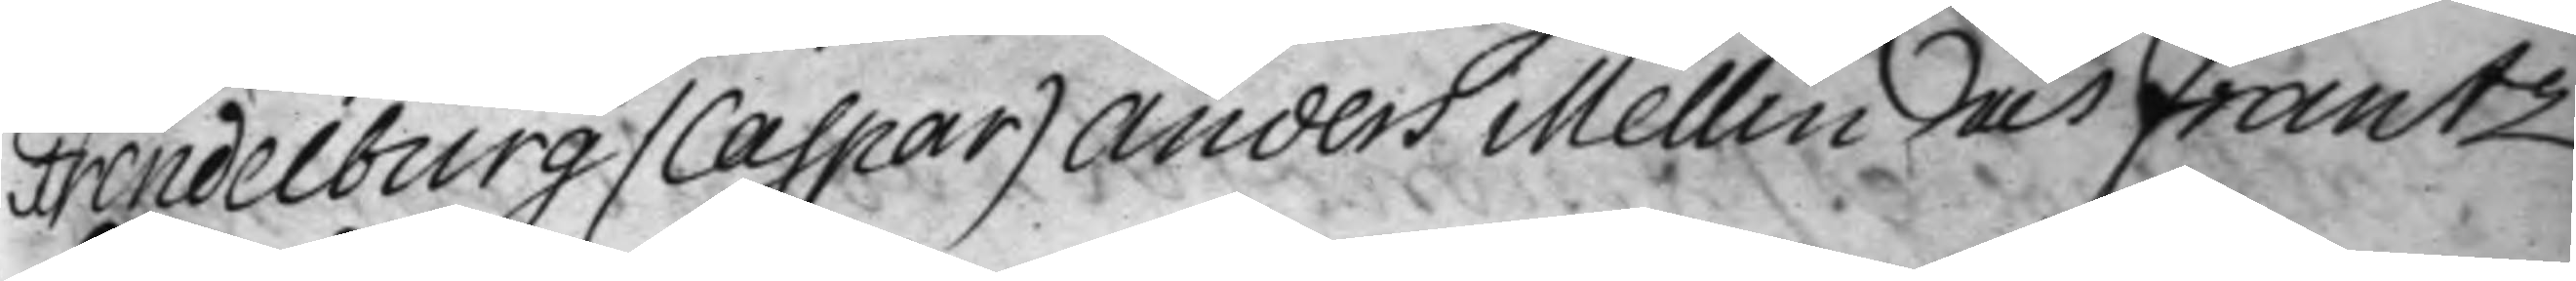Frendelburg (Caspar) Anders Mellin och Frantz
